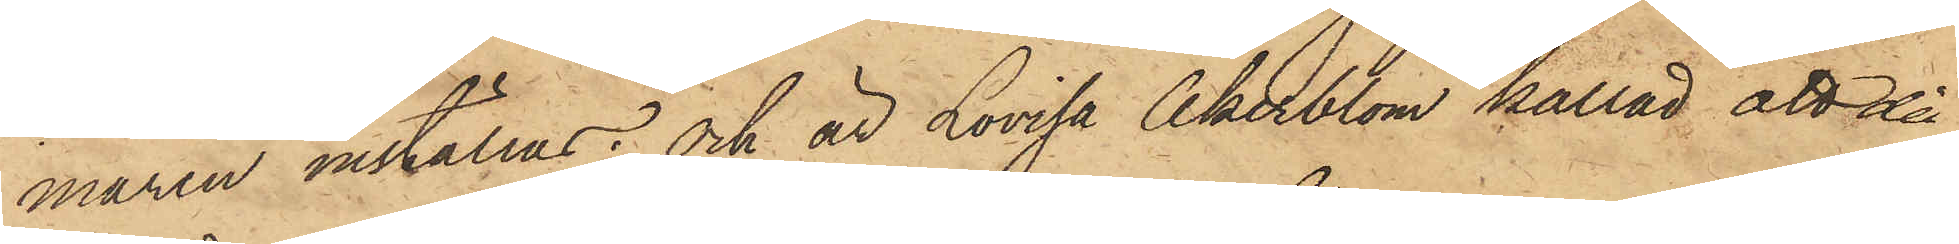maren inställas; och är Lovisa Åkerblom kallad att då
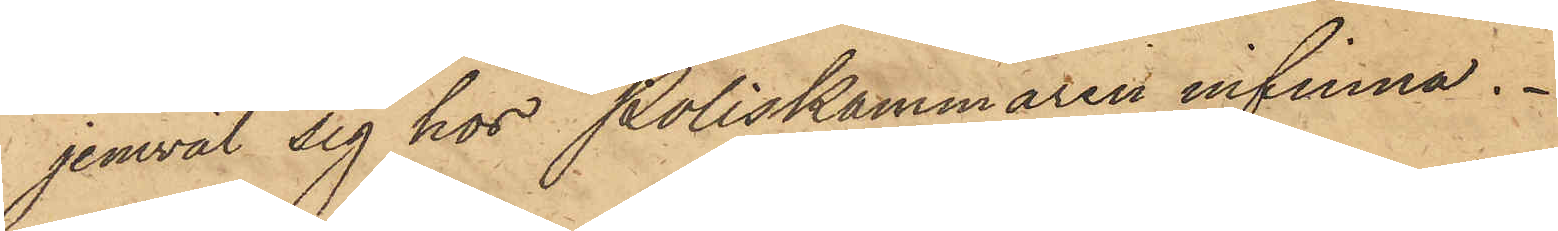jemväl sig hos Poliskammaren infinna.
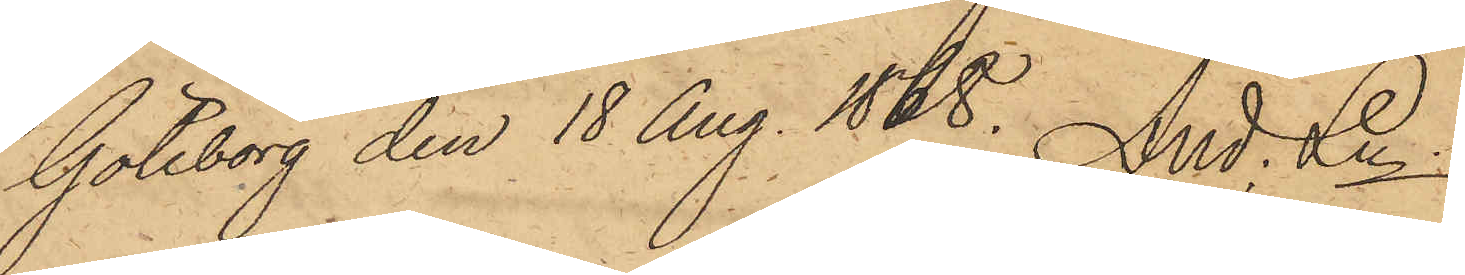Göteborg den 18 Aug. 1868. And. Ln.
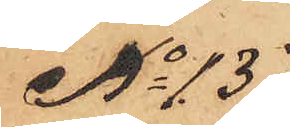No 137
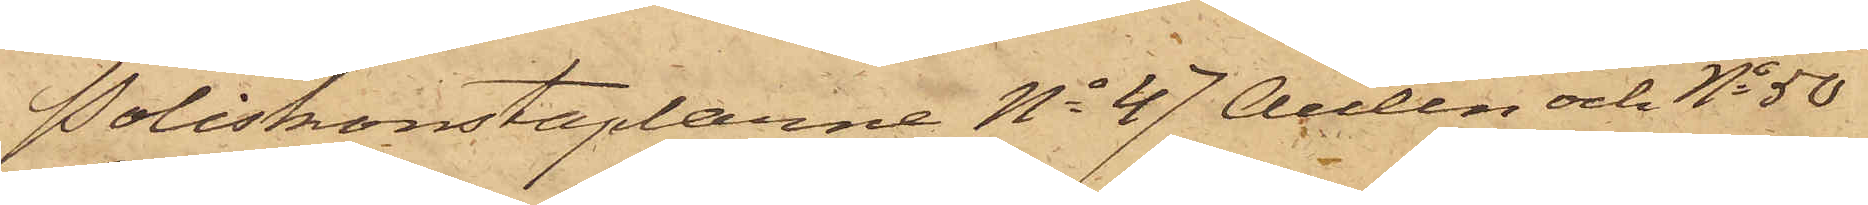Poliskonstaplarne No 47 Aulin och No 50
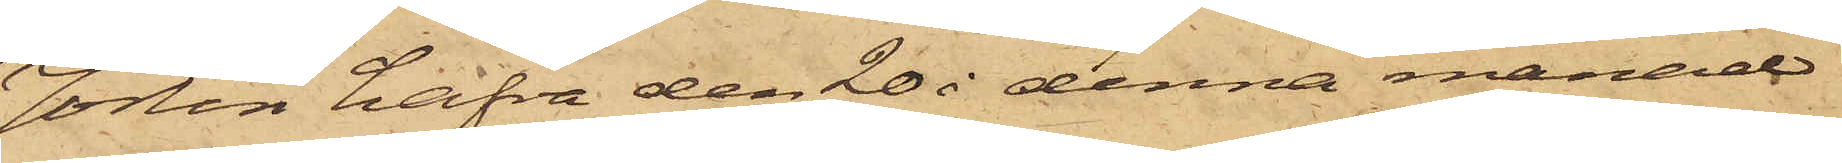Jörlin hafva den 20 i denna månad
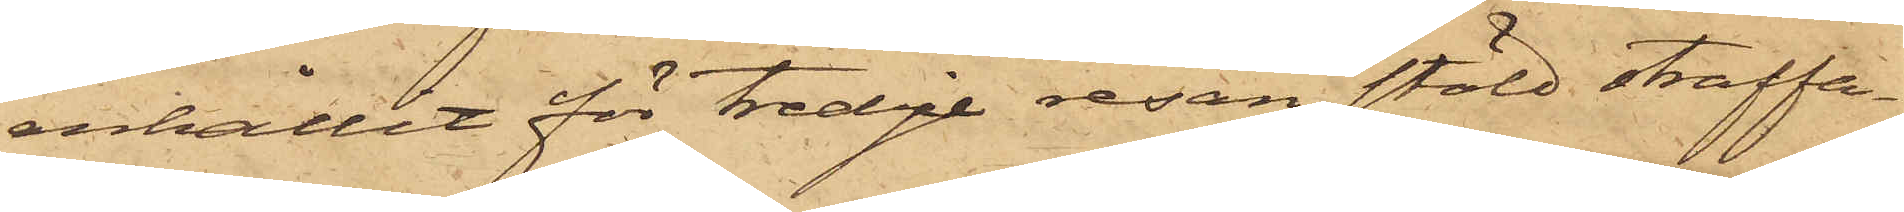enhållit för tredje resan stöld straffa¬
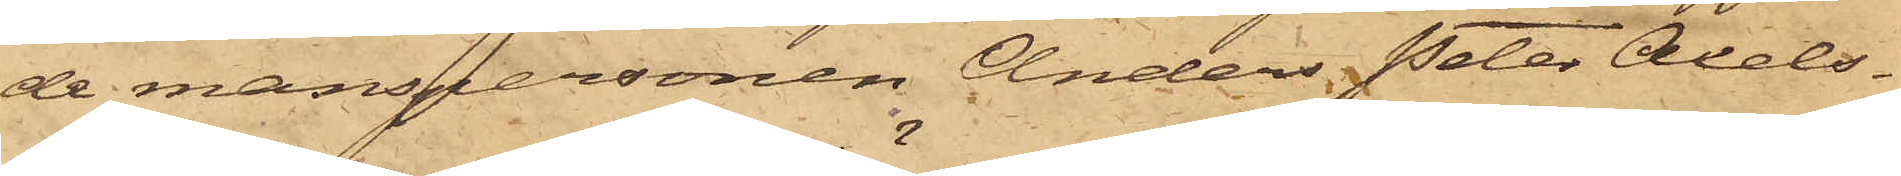de manspersonen Anders Peter Axels¬
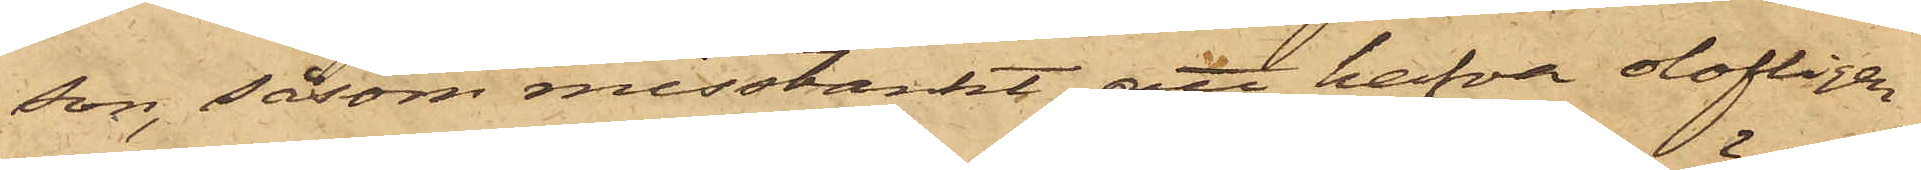son, såsom misstänkt, att hafva olofligen
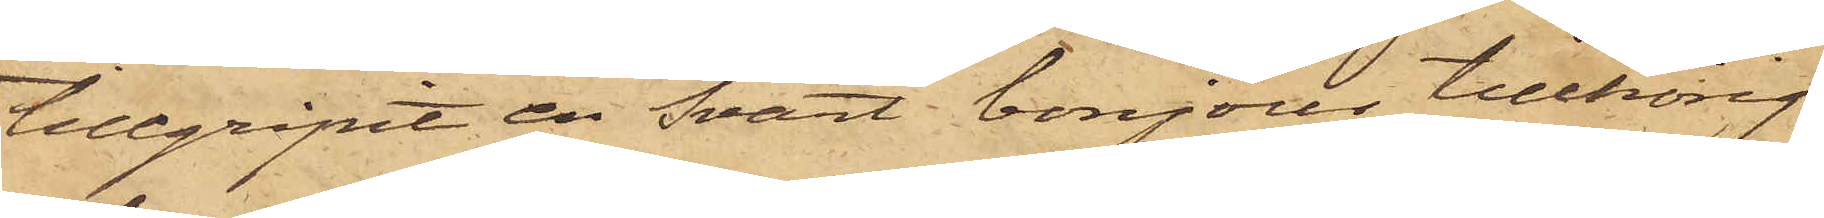tillgripit en svart bonjour, tillhörig
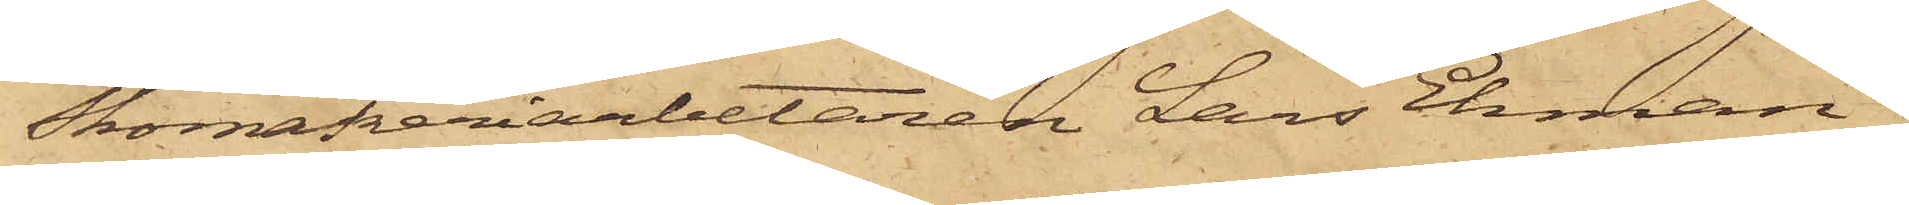Skomakeriarbetaren Lars Ekman,
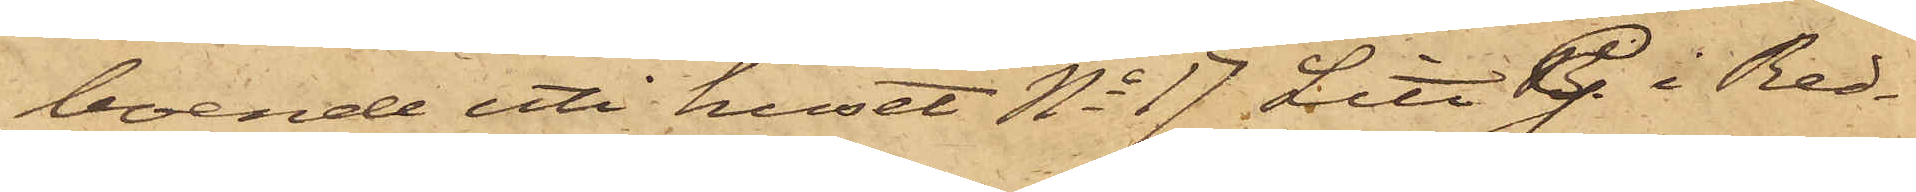boende uti huset No 17 Litt G. i Red¬
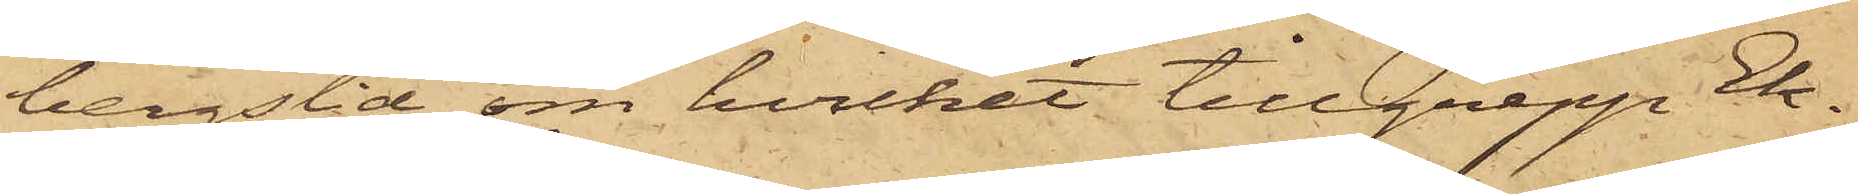bergslid, om hvilket tillgrepp Ek¬
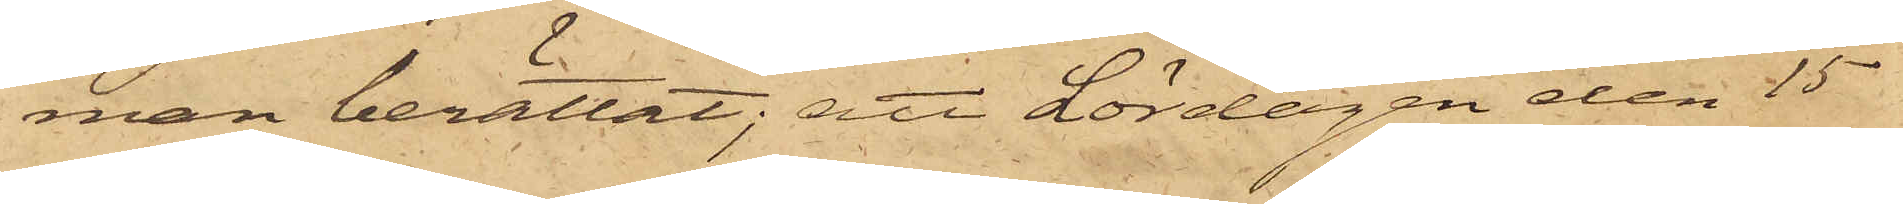man berättat; att Lördagen den 15
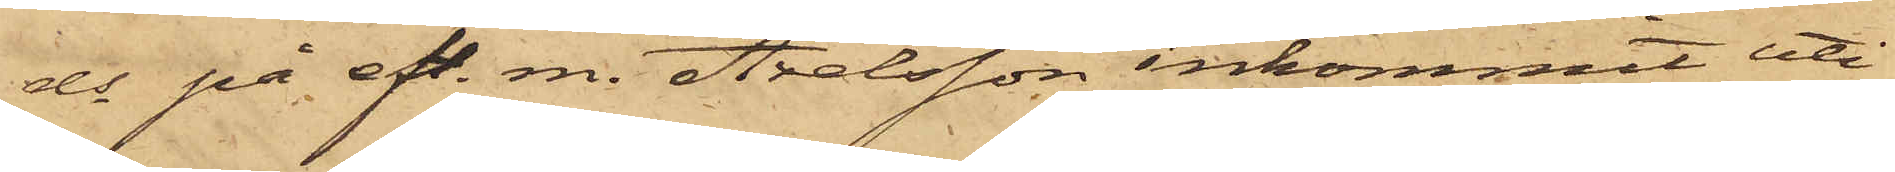ds på eft. m. Axelsson inkommit uti
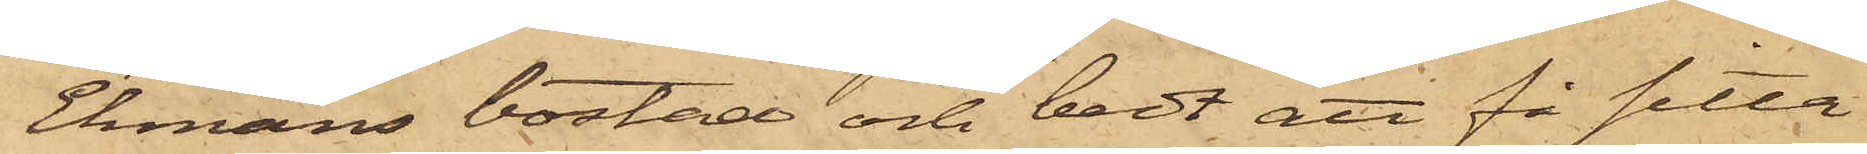Ekmans bostad och bedt att få sitta
